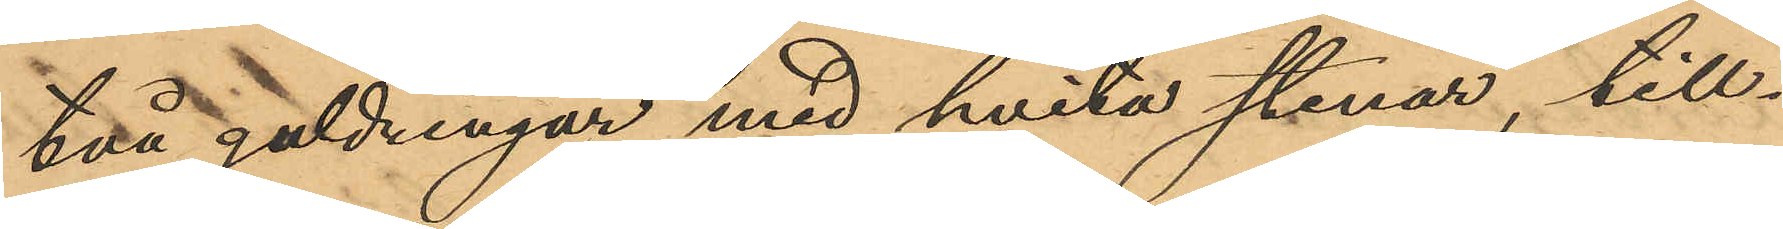två guldringar med hvita stenar, till¬
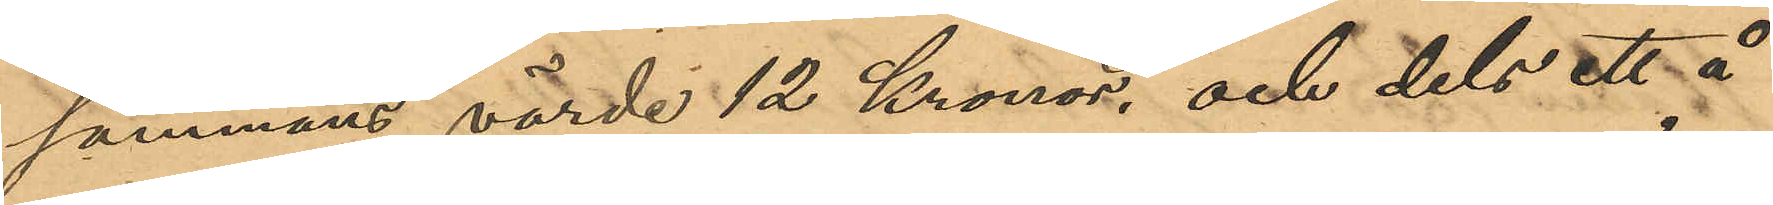sammans värde 12 Kronor, och dels ett å
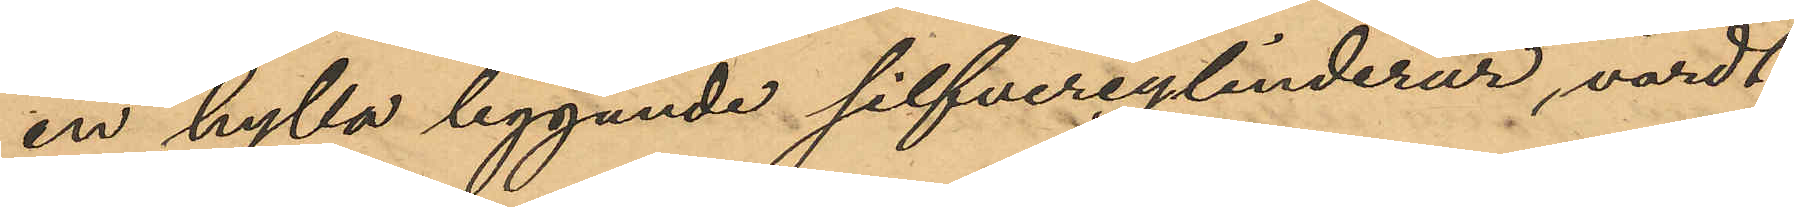en hylla liggande silfvercylinderur, värdt
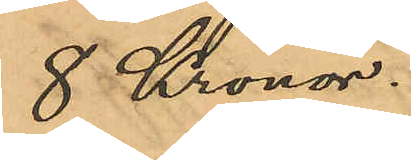8 Kronor.
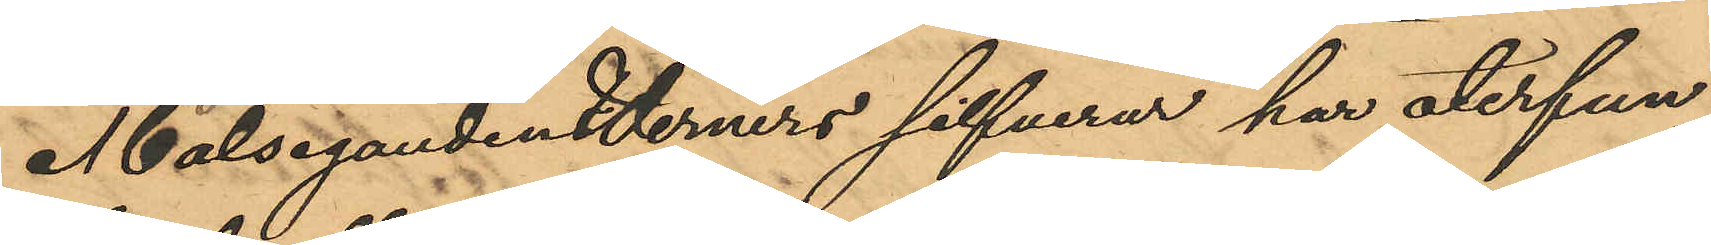Målsegandenderners silfverur har återfun¬
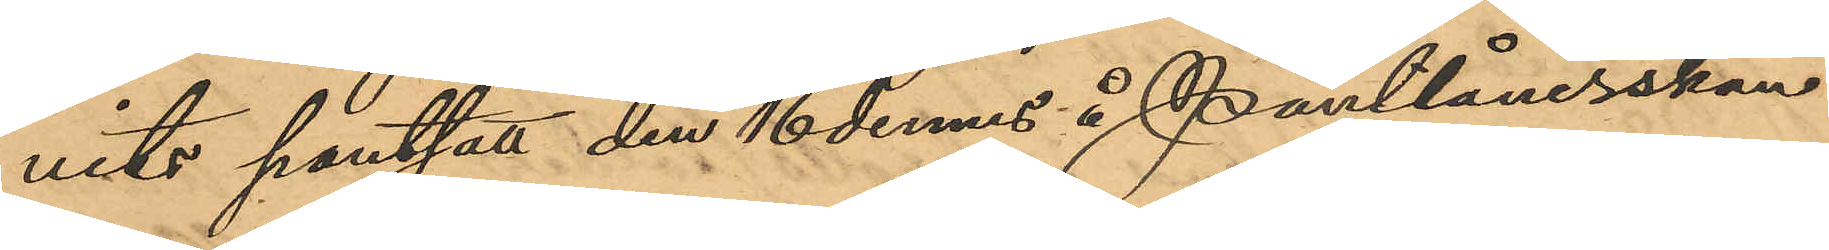vits pantsatt den 16 dennes å Pantlånerskan
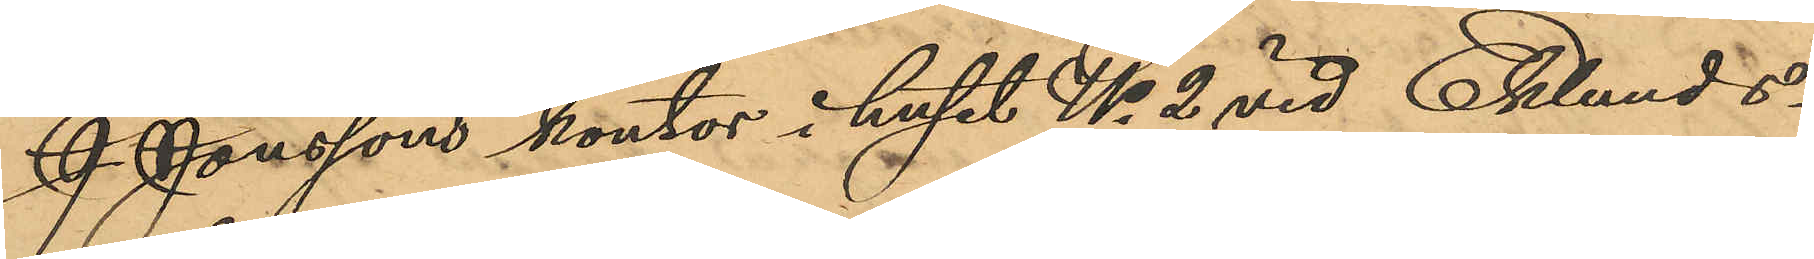J. Jonssons kontor i huset No 2 vid Eklunds¬
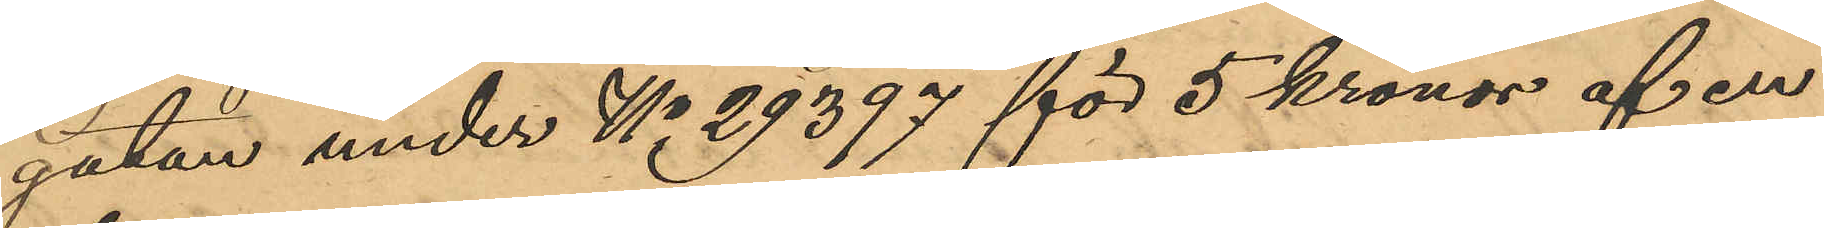gatan under No 29397 för 5 kronor af en
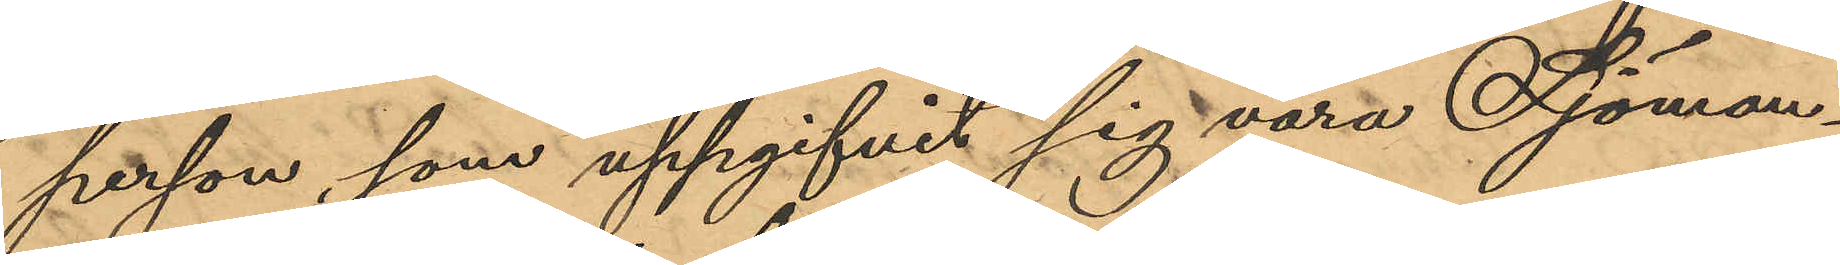person, som uppgifvit sig vara Sjöman¬
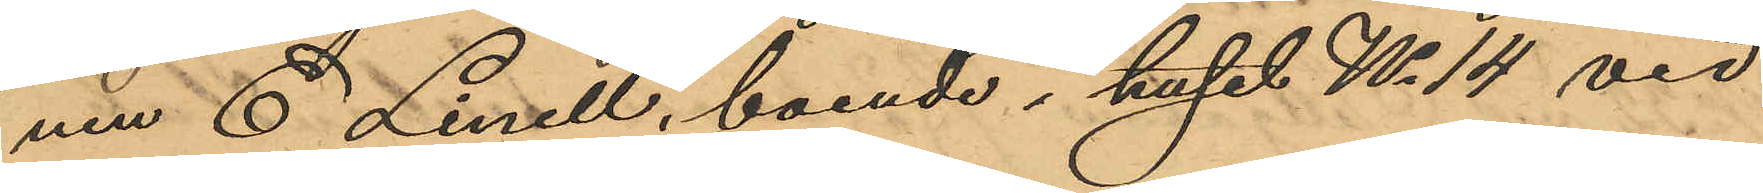nen C. Linell, boende i huset No 14 vid
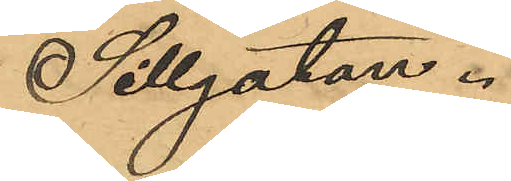Sillgatan.
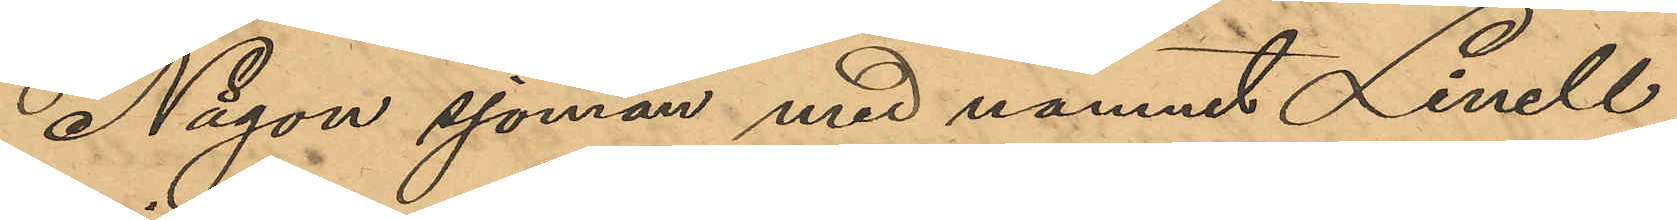Någon sjöman med namnet Linell
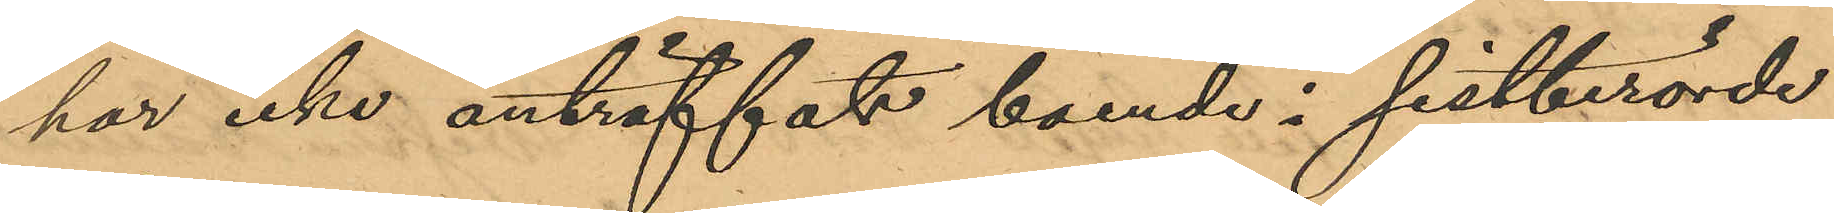har icke anträffats boende i sistberörde
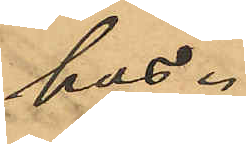hus.
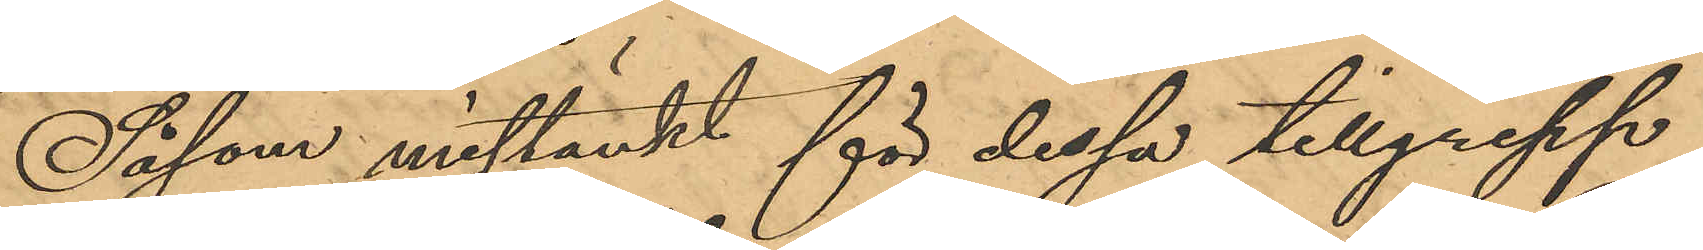Såsom mistänkt för dessa tillgrepp
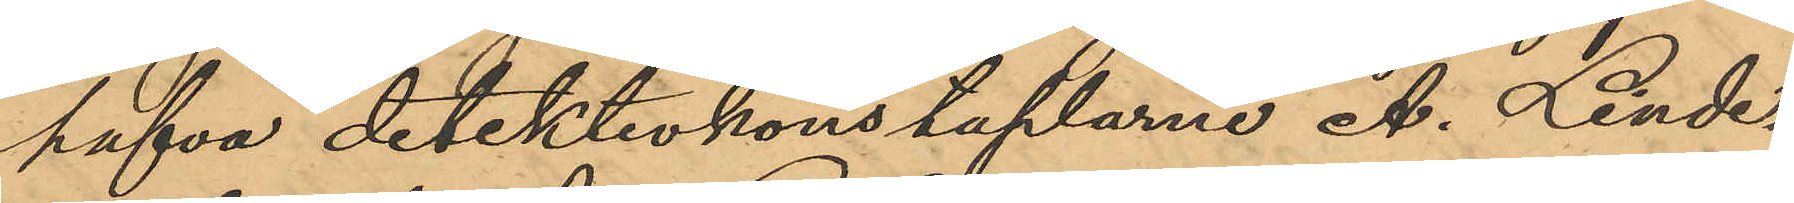hafva detektivkonstaplarne A. Linde¬
